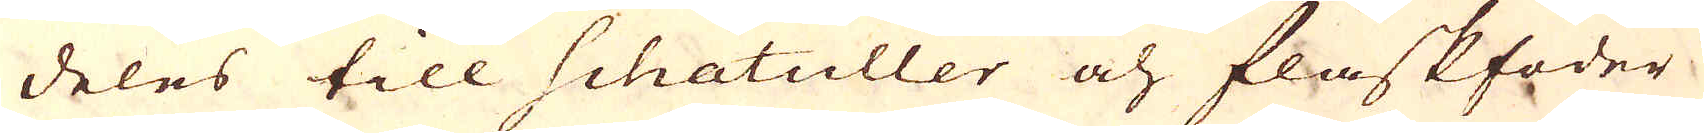deles till Schatuller och flaskfoder
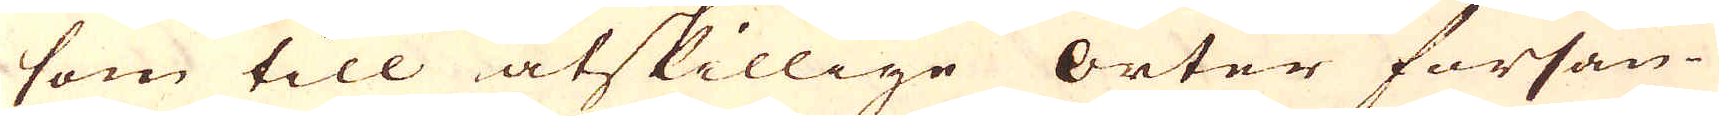som till åtskillige orter försän-
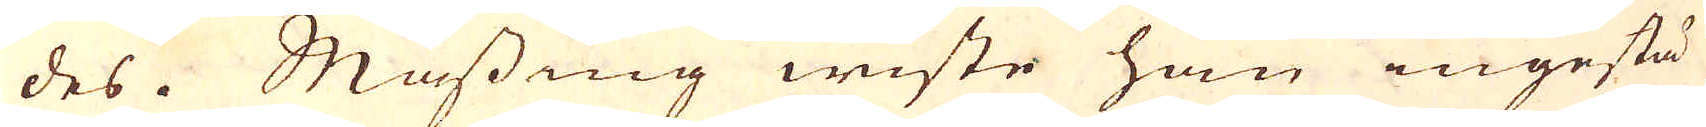des. Mässing wiste han ingestä-
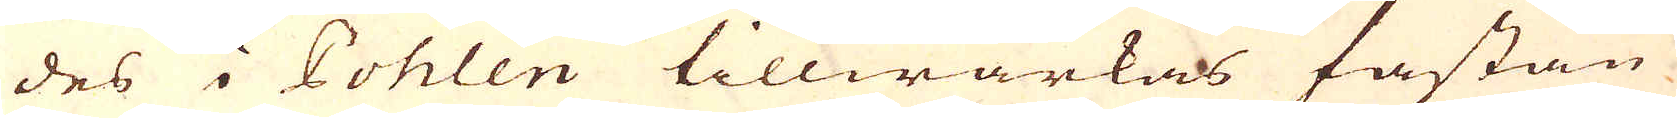des i Pohlen tillwärkas fastän
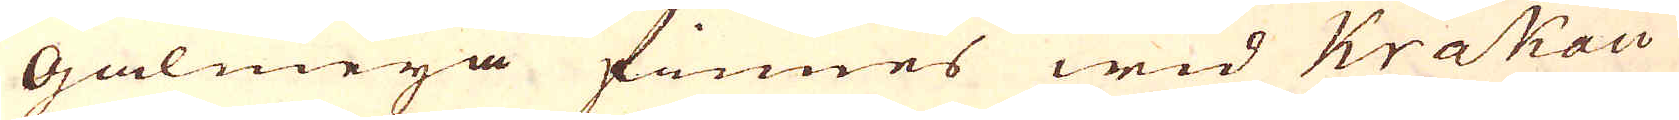Galmeja finnes wid Krakau
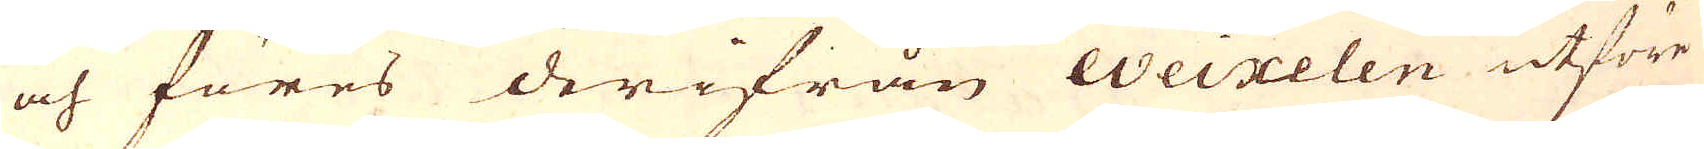och föres derifrån Weixelen utföre
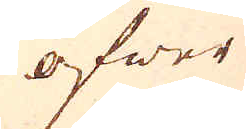öfwer
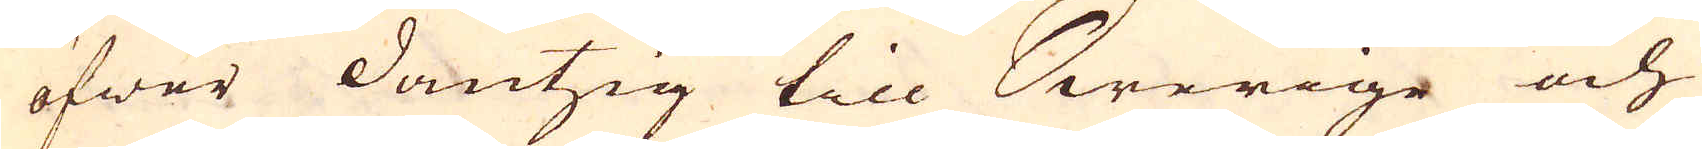öfwer Dantzig till Swerige och
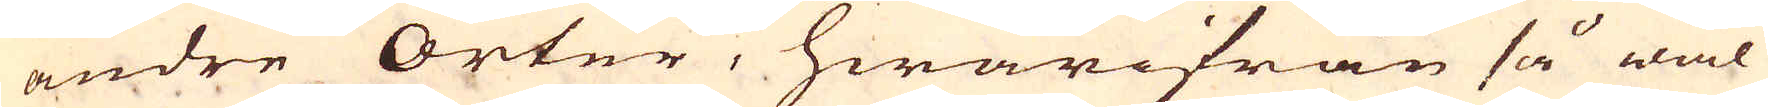andre Orter, hwarifrån så wäl
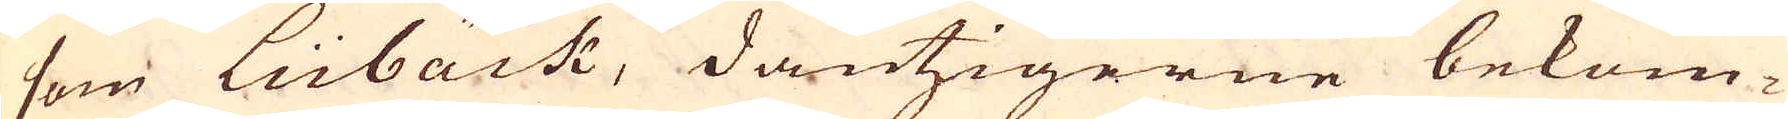som Lübäck, dantzigerne bekom-
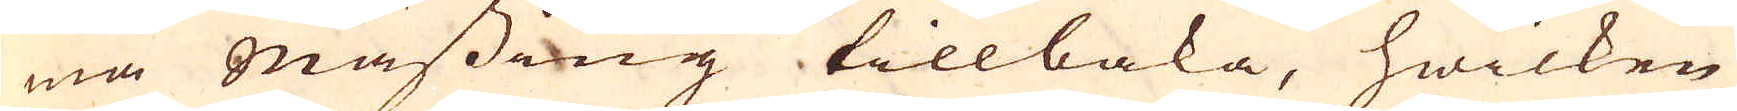ma mässing tillbaka, hwilken
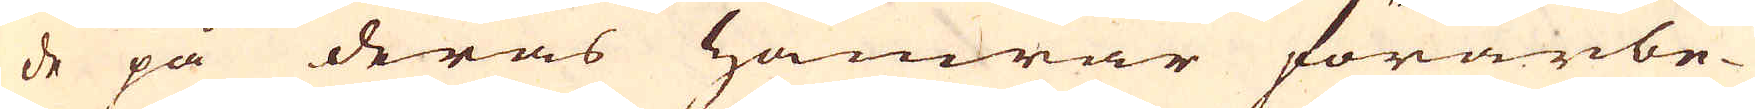de på deras hamrar förarbe-
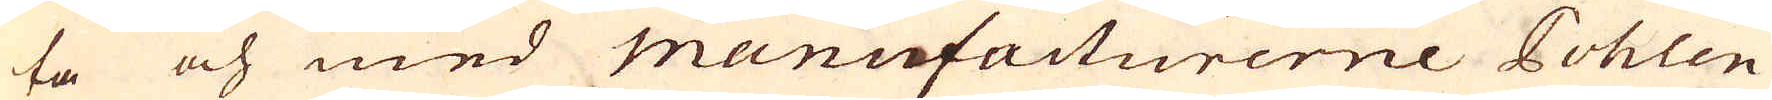ta och med Manufacturerne Pohlen
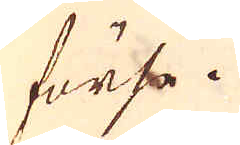förse.
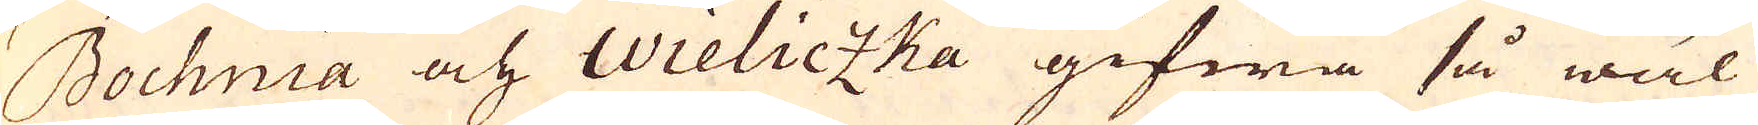Bochnia och Wieliczka gifwa så wäl
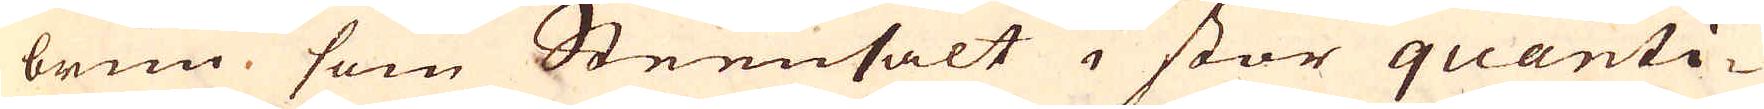brun, som Steensalt i stor quanti-
